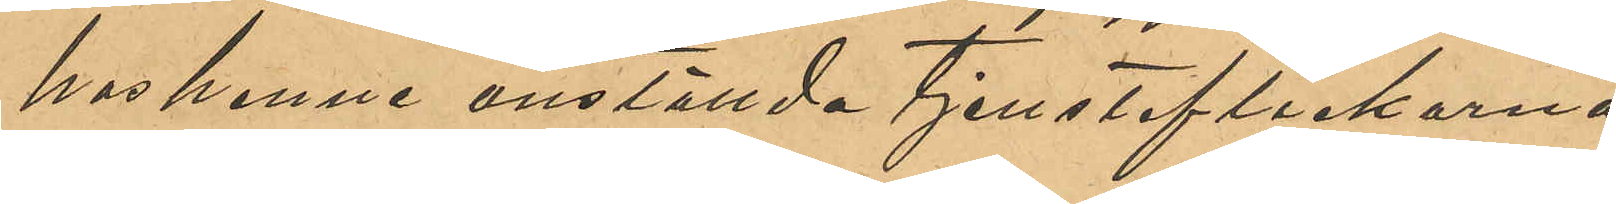hos henne anställda tjensteflickorna
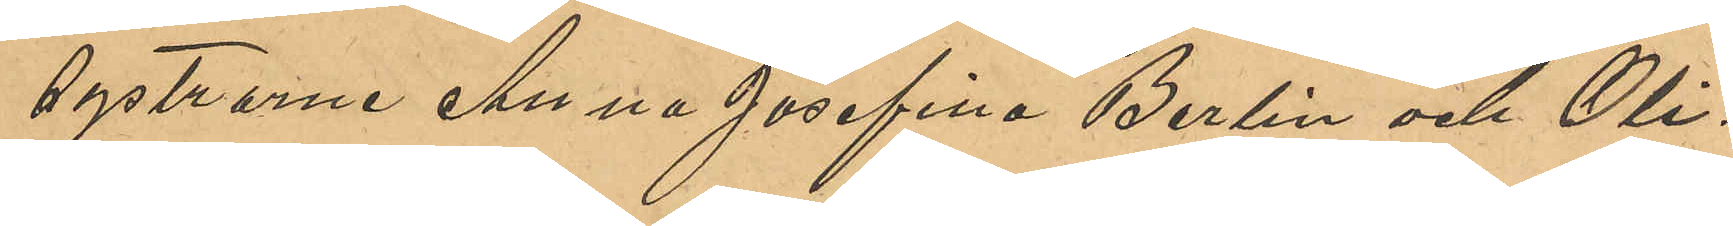systrarna Anna Josefina Berlin och Oli¬
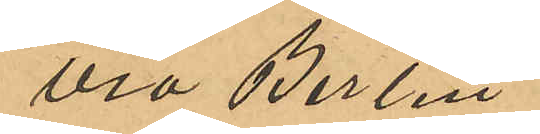via Berlin.
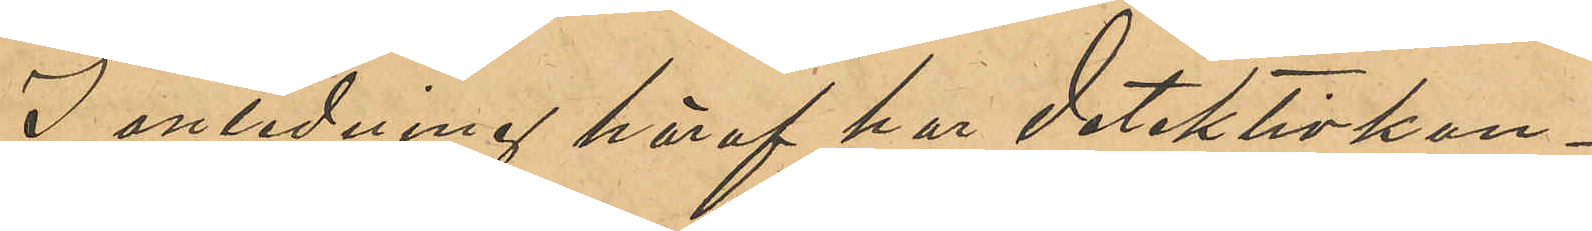I anledning häraf har detektivkon¬
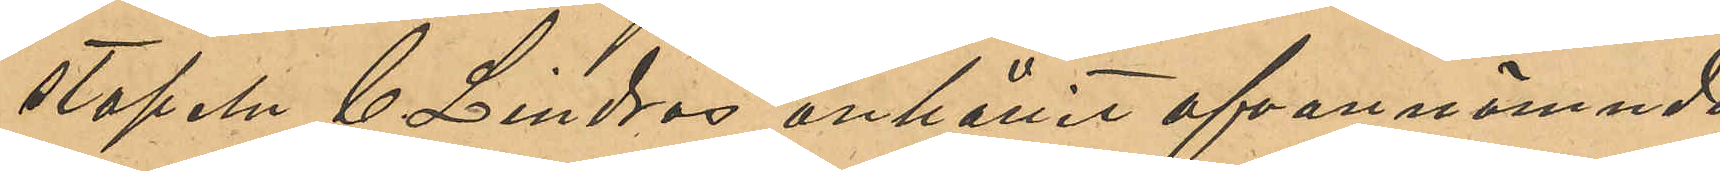stapeln C. Lindros anhållit ofvannämnde
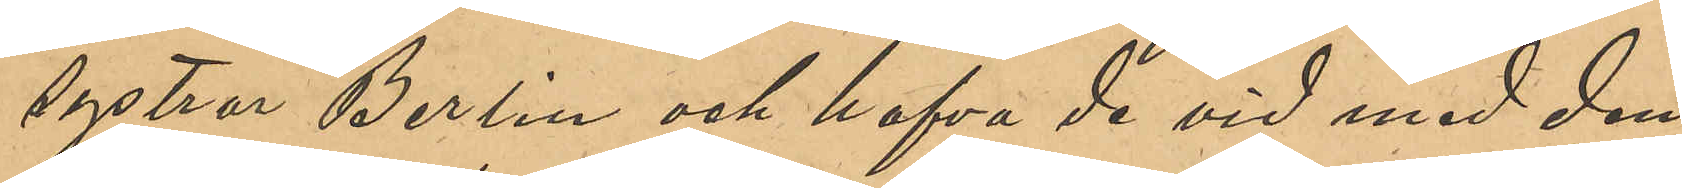systrar Berlin och hafva de vid med dem
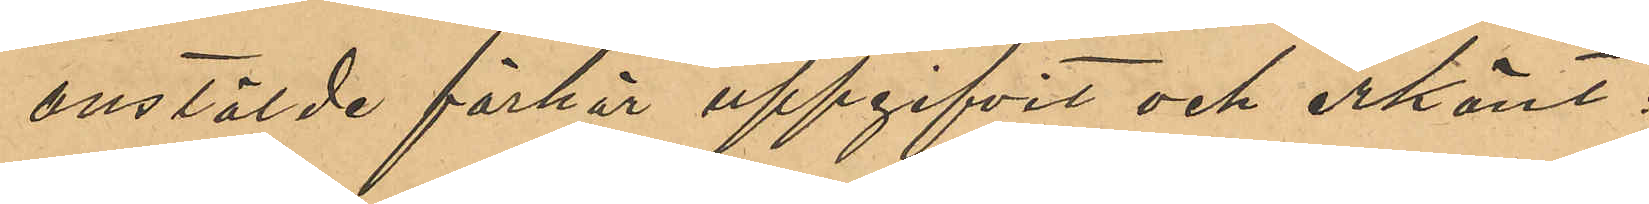anstälde förhör uppgifvit och erkänt:
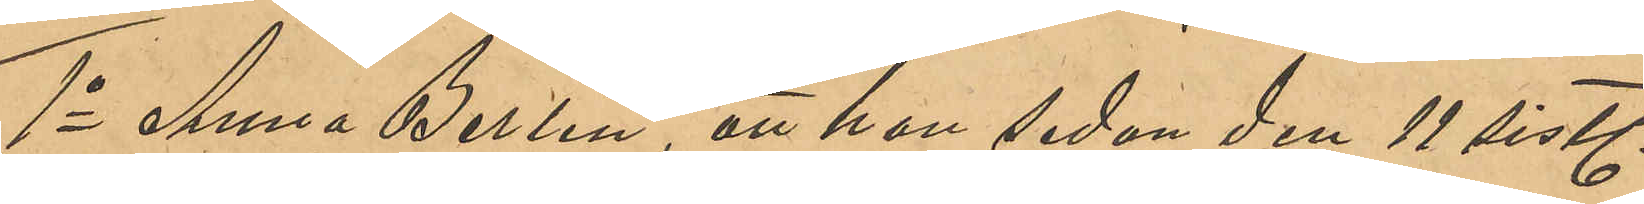1o Anna Berlin, att hon sedan den 11 sistl
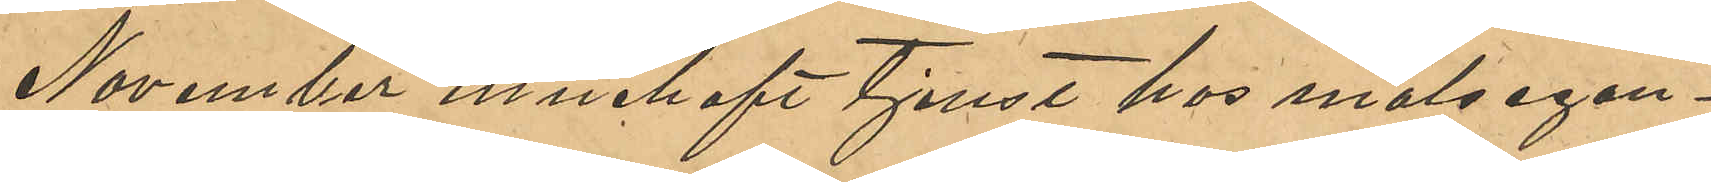November innehaft tjenst hos målsegan¬
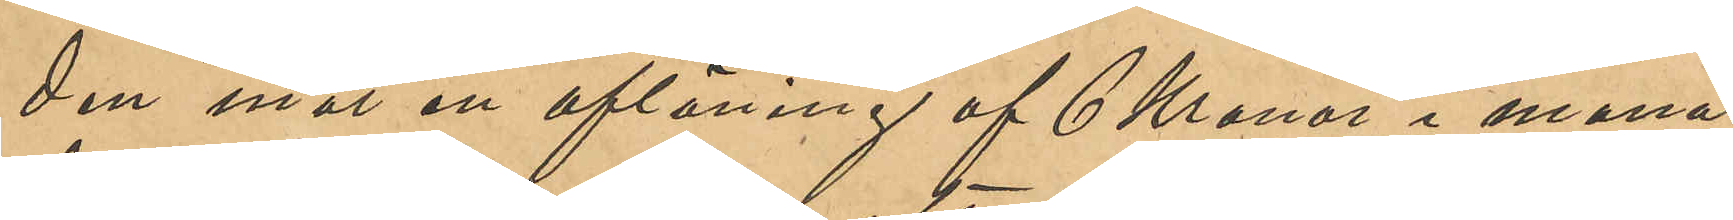den mot en aflöning af 6 Kronor i mån¬
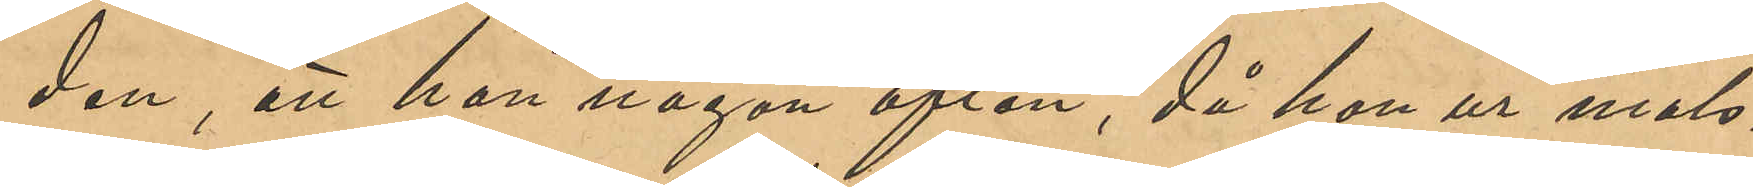den, att hon någon afton, då hon ur mål¬
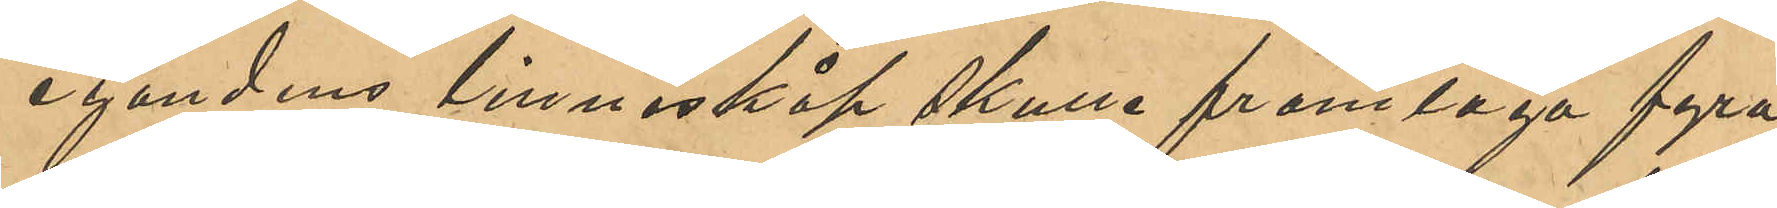egandens linneskåp skulle framtaga fyra
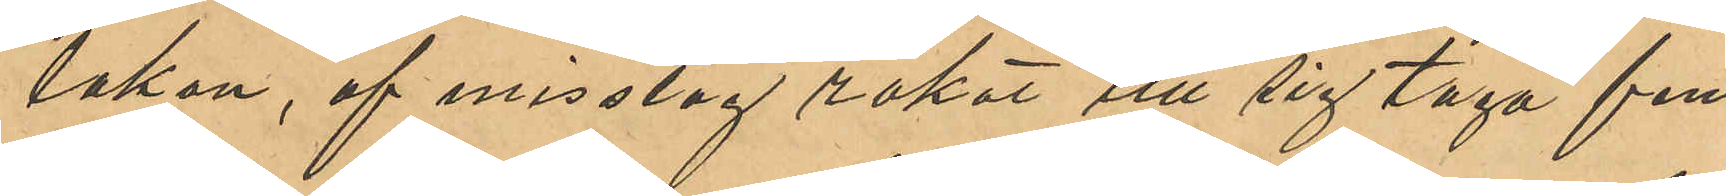lakan, af misstag råkat till sig taga fem
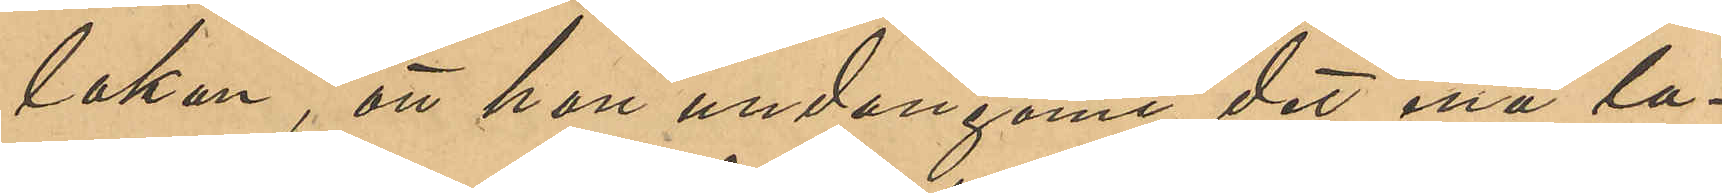lakan, att hon undangömt det ena la¬
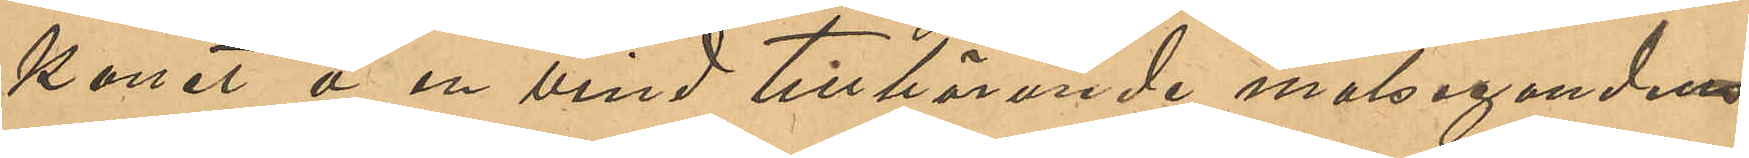kanet å en vind tillhörande målseganden
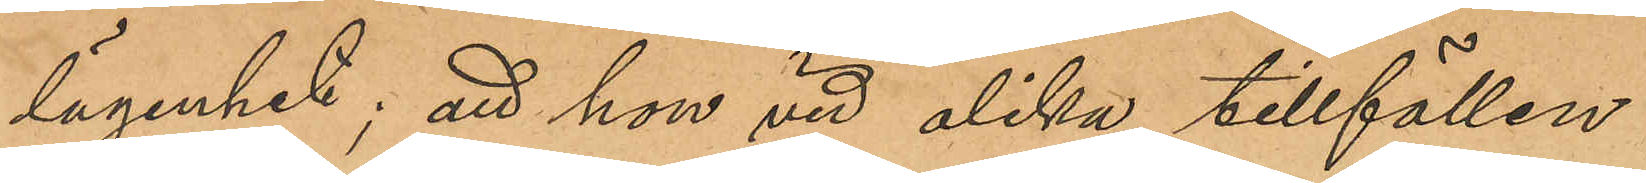lägenhet; att hon vid olika tillfällen
